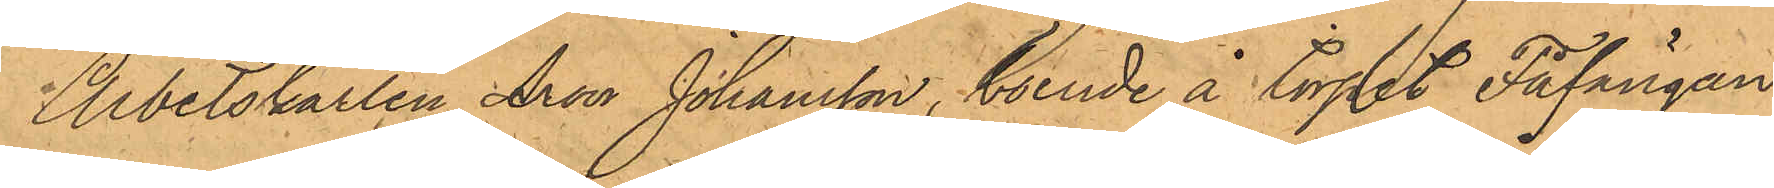Arbetskarlen Aron Johansson, boende å Torpet Fäfångan
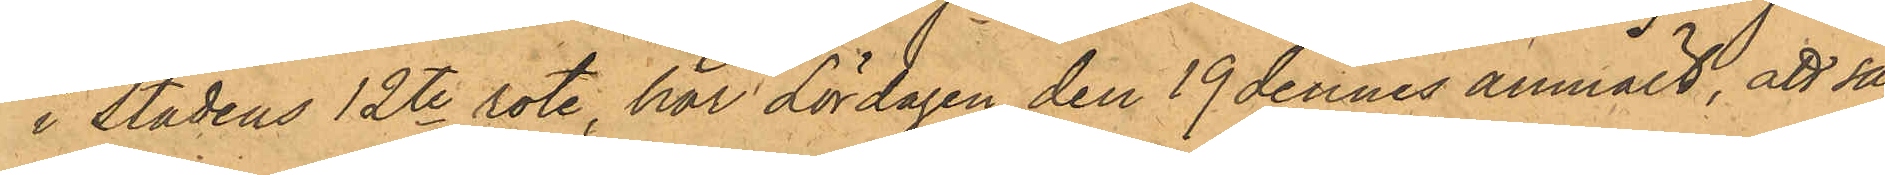i stadens 12te rote har Lördagen den 19 dennes anmält, att sag¬
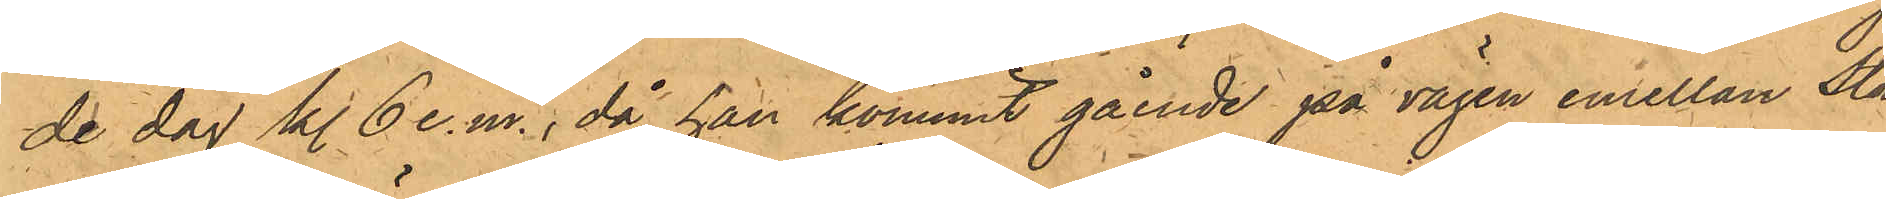de dag kl. 6 e.m., då han kommit gående på vägen emellan Stora¬
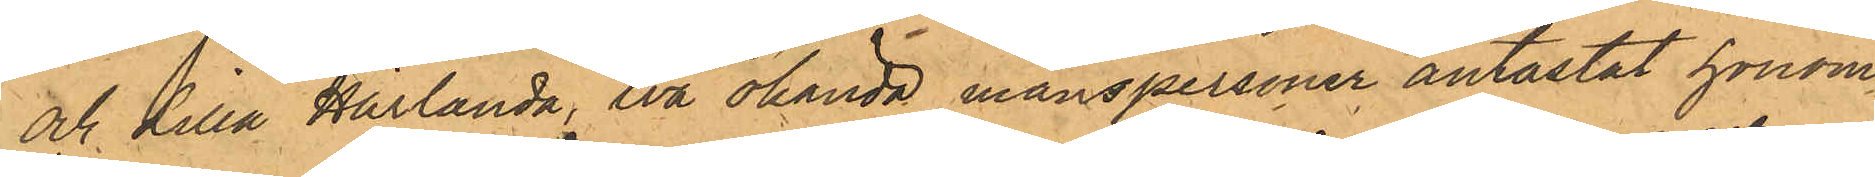och Lilla Härlanda, två okända manspersoner antastat honom,
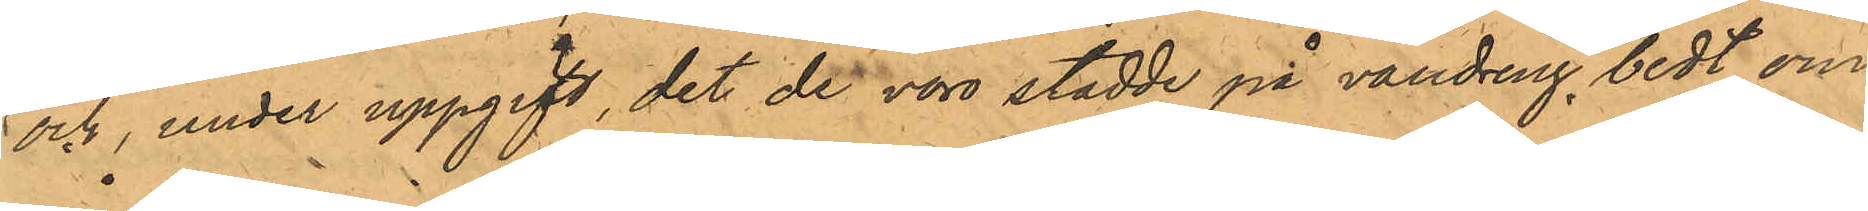och, under uppgift, det de voro stadde på vandring bedt om
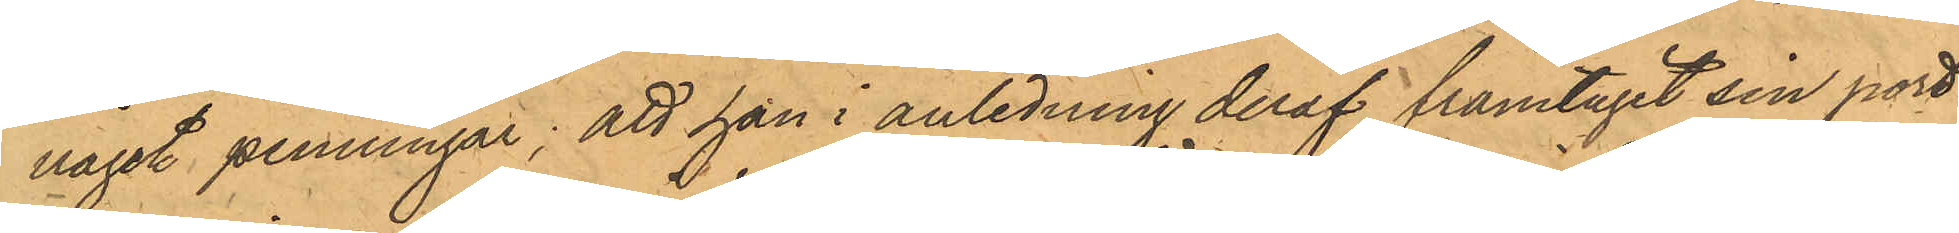något penningar; att han i anledning deraf framtagit sin port¬
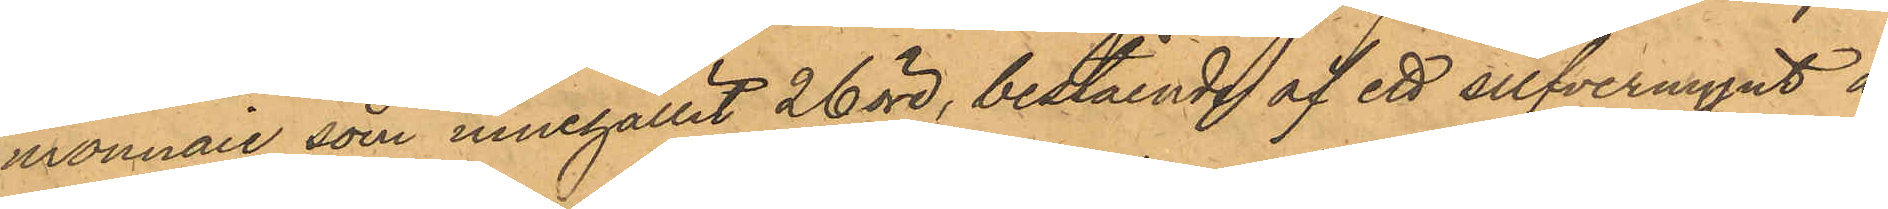monnaie som innehållit 26 öre, bestående af ett silfvermynt å
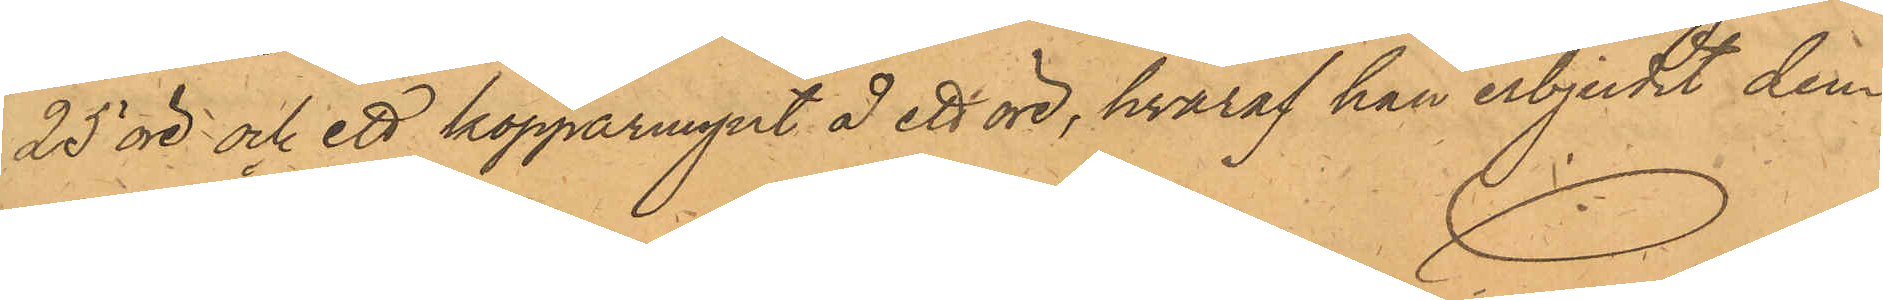25 öre och ett kopparmynt å ett öre, hvaraf han erbjudit dem
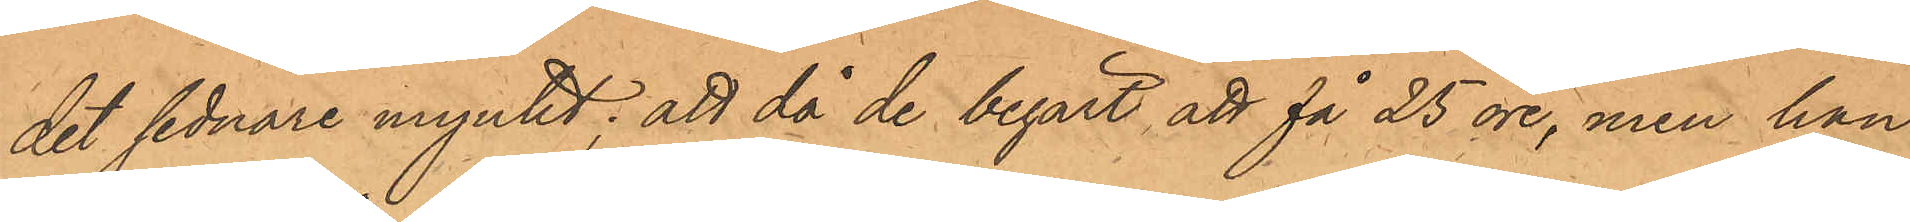det sednare myntet; att då de begärt, att få 25 öre, men han
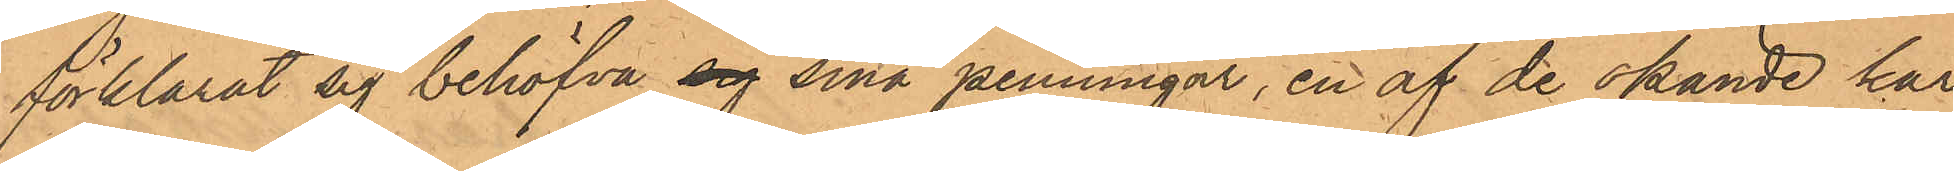förklarat sig behöfva sig sina penningar, en af de okände kar¬
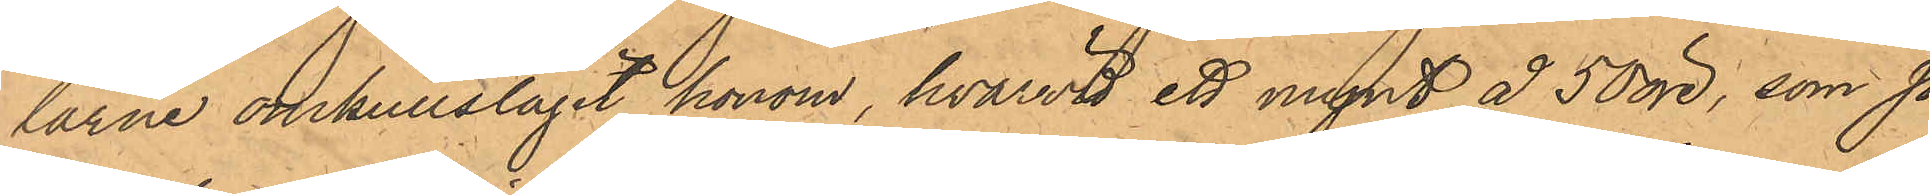larne omkullslagit honom, hvarvid ett mynt å 50 öre, som Jo¬
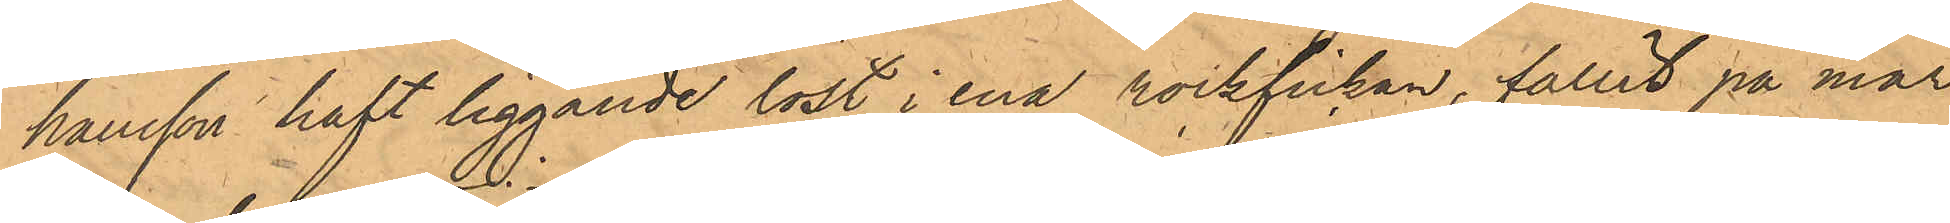hansson haft liggande löst i ena rockfickan, fallit på mar¬
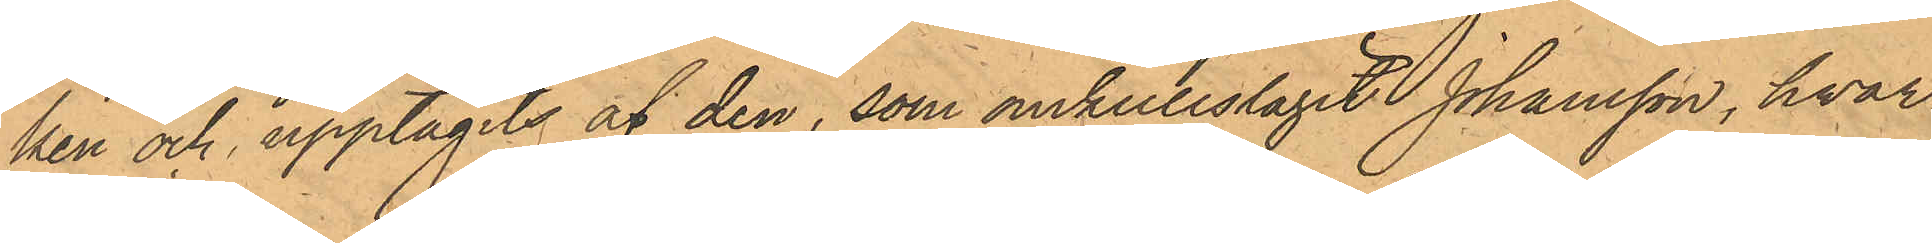ken och, upptagits af den, som omkullslagit Johansson, hvar¬
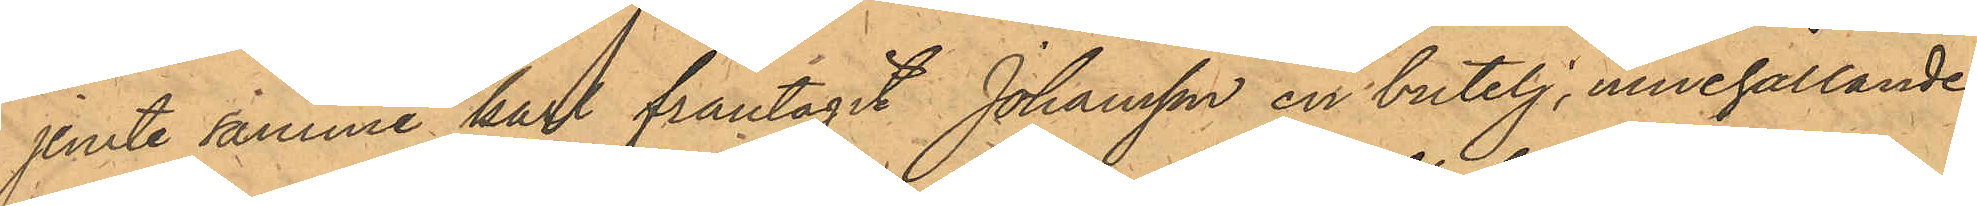jemte samme karl fråntagit Johansson en butelj, innehållande
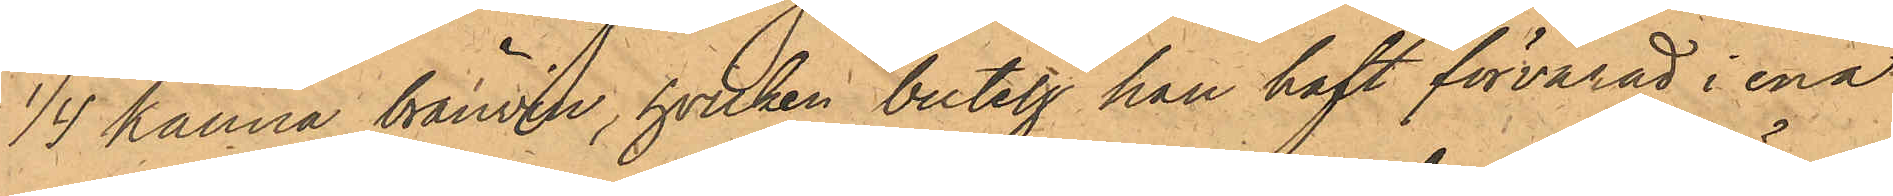1/4 kanna bränvin, hvilken butelj han haft förvarad i ena
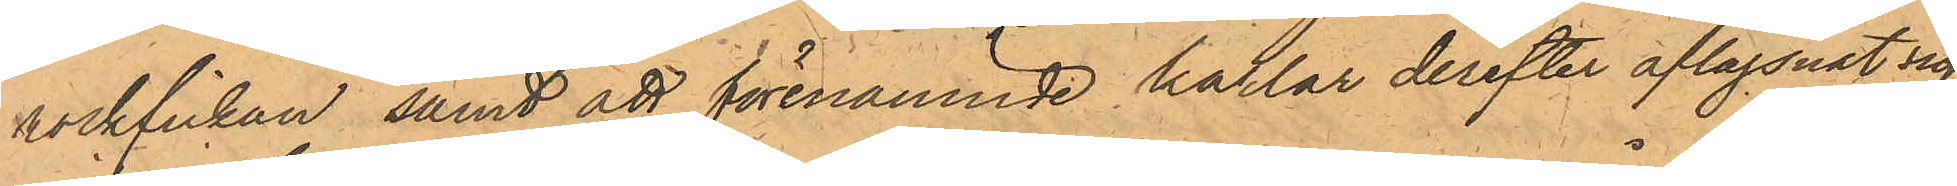rockfickan, samt att förenämnde karlar derefter aflägsnat sig.
